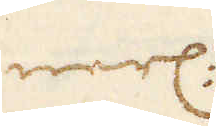nerl:
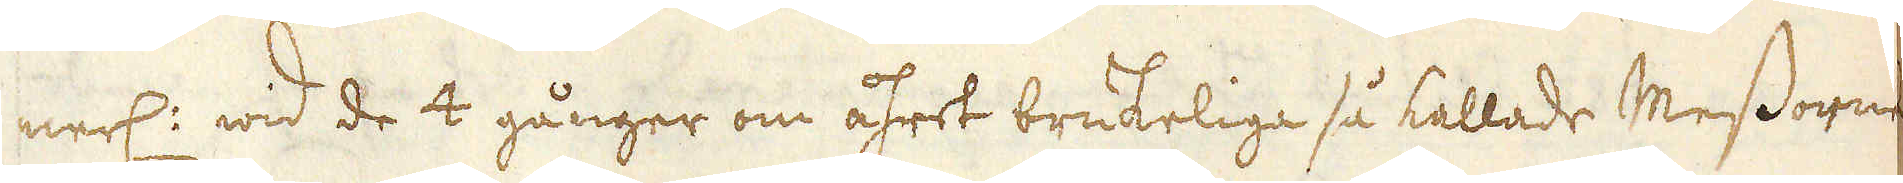nerl: wid de 4 gånger om åhret brukeliga så kallade Messorne
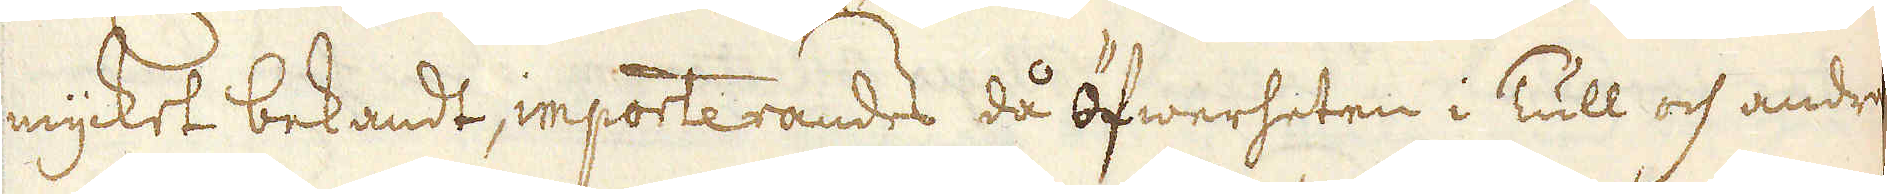mycket bekandt, inporterandes då Öfwerheten i Tull och andre
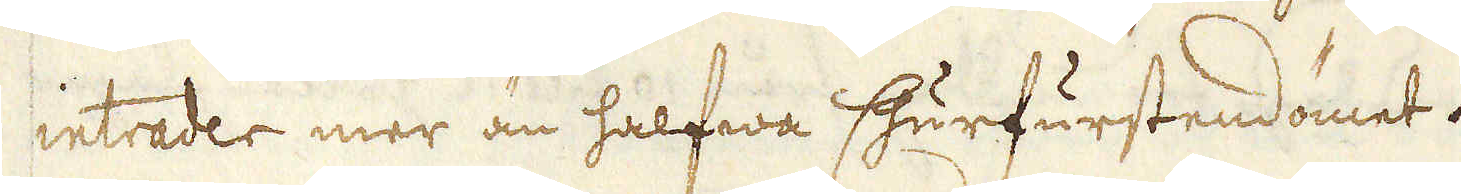inträder mer än halfwa Churfurstendömet.
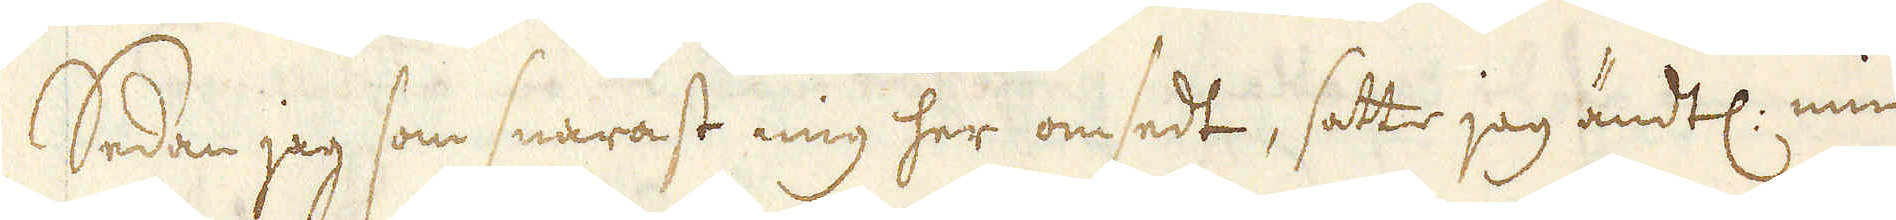Sedan jag som snarast mig her omsedt, satte jag ändtl: min
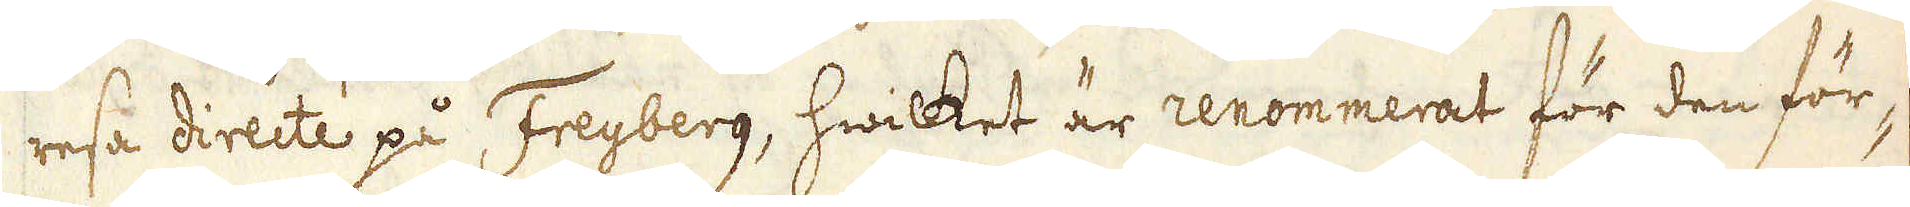resa directe på Freyberg, hwilket är renommerat för den för-
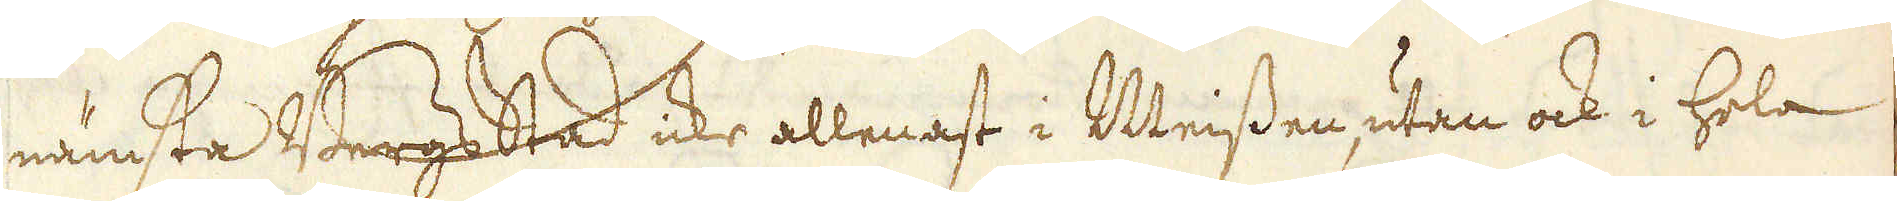nämsta Bergs Stad icke allenast i Meissen, utan ock i hela
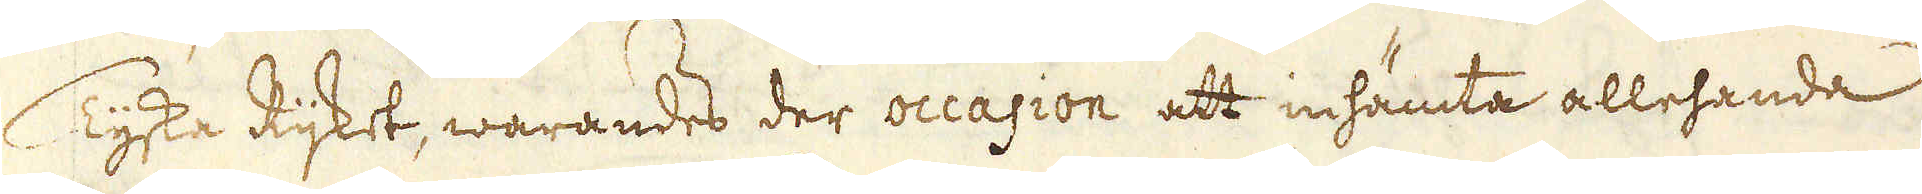Tyska Rijket, warandes der occasion att inhämta allehanda
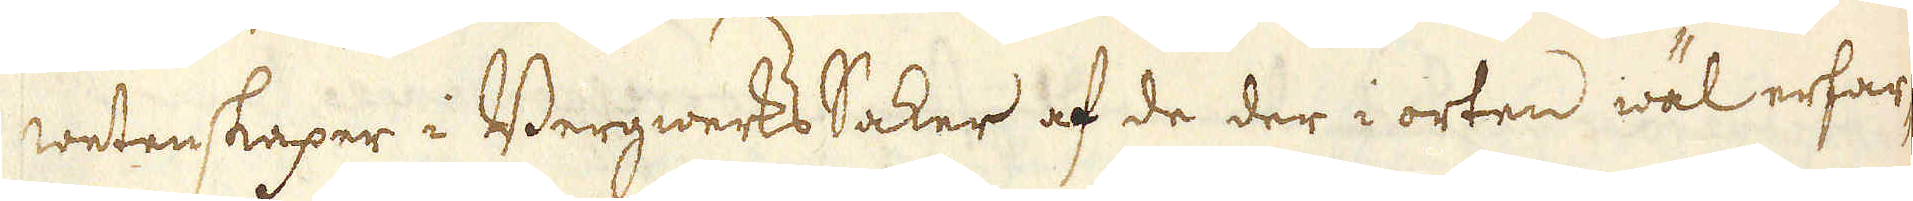wetenskaper i Bergwerks Saker af de der i orten wäl erfar-
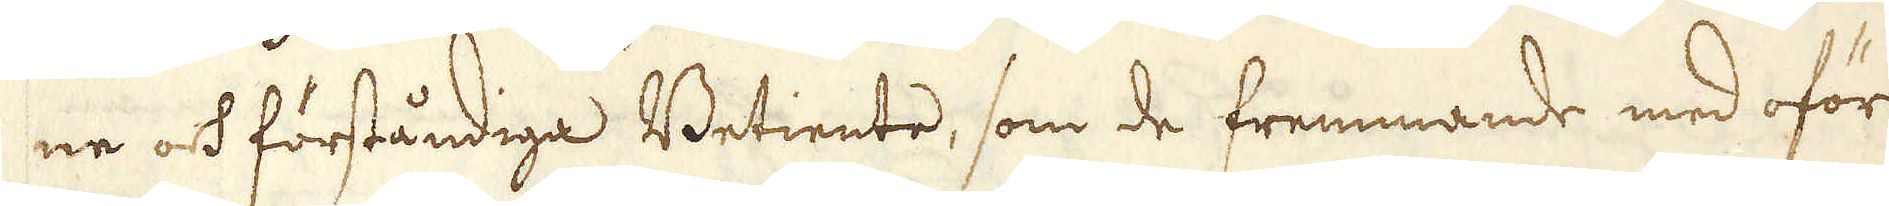ne och förståndiga Betiente, som de fremmande med oför-
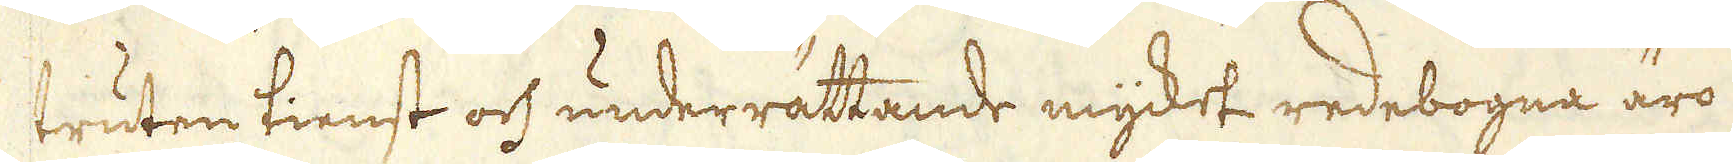truten tienst och underrättande mycket redebogna äro.
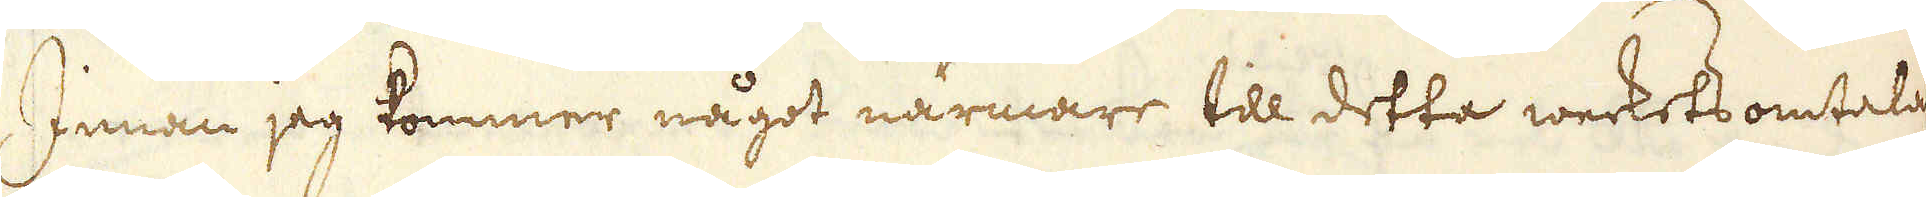Innan jag kommer något närmare till detta werkets omtalan-
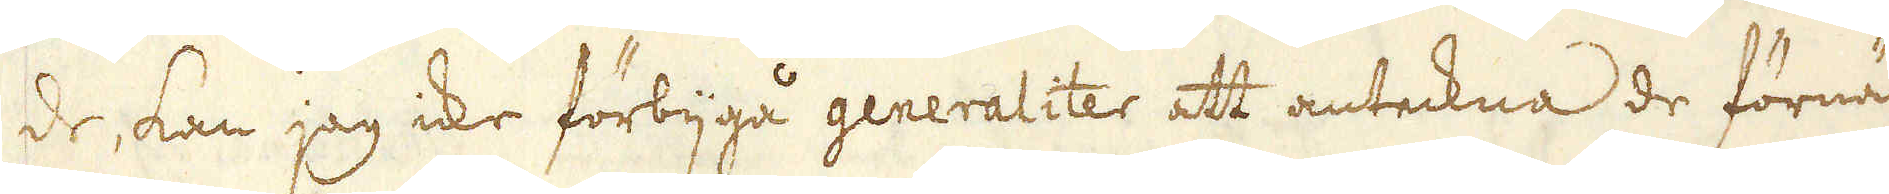de, kan jag icke förbijgå generaliter att anteckna de förnäm-
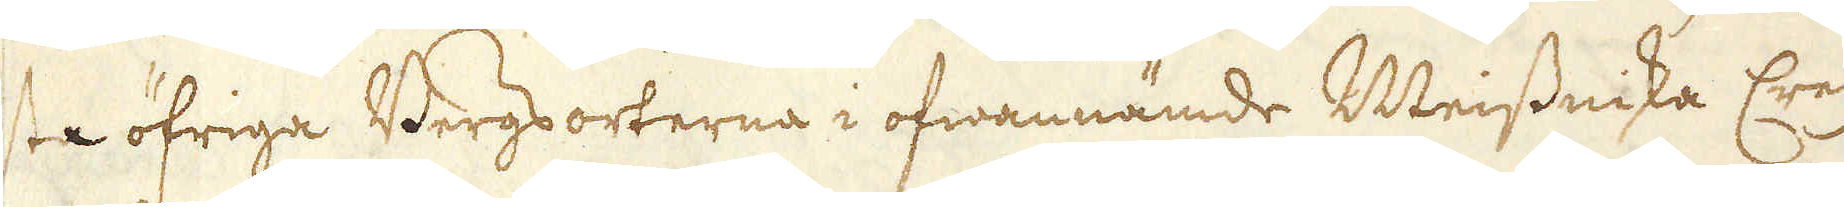sta öfriga Bergs orterna i ofwannämde Meissniska Creijsen,
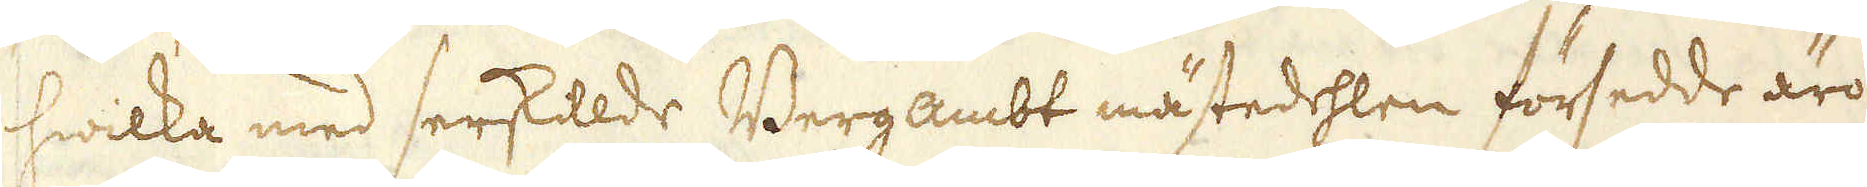hwilka med serskillde Bergambt mästedehlen försedde äro,
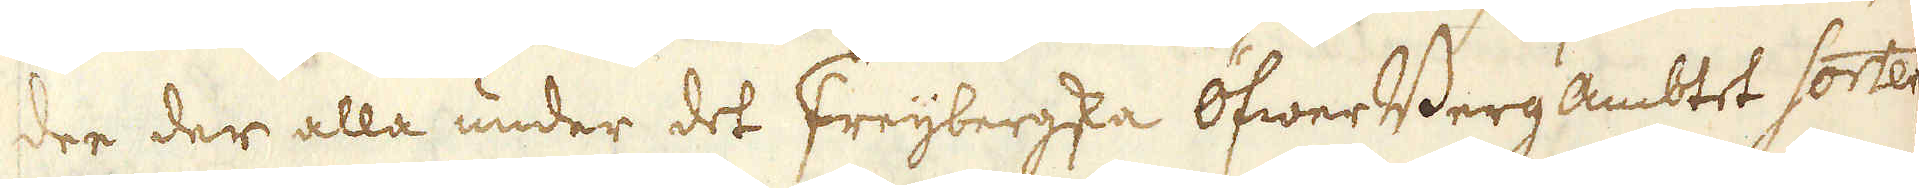dee der alla under det Freijbergska Öfwer Berg Ambtet sortera,
